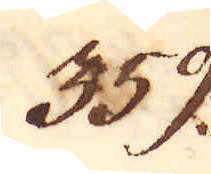359.
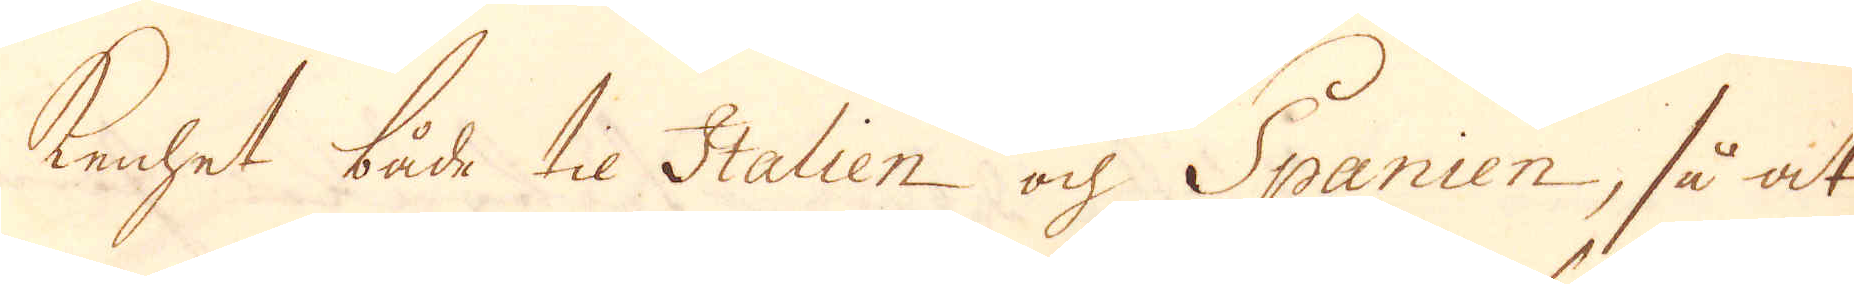kenhet både til Italien och Spanien, så at
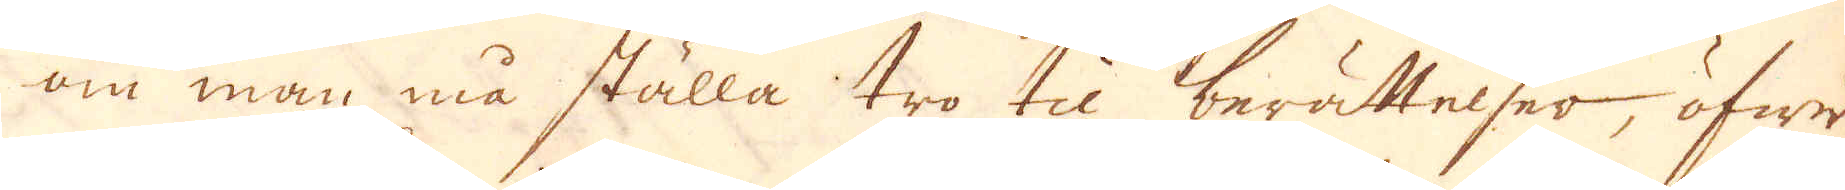om man må ställa tro til berättelser, öfwer
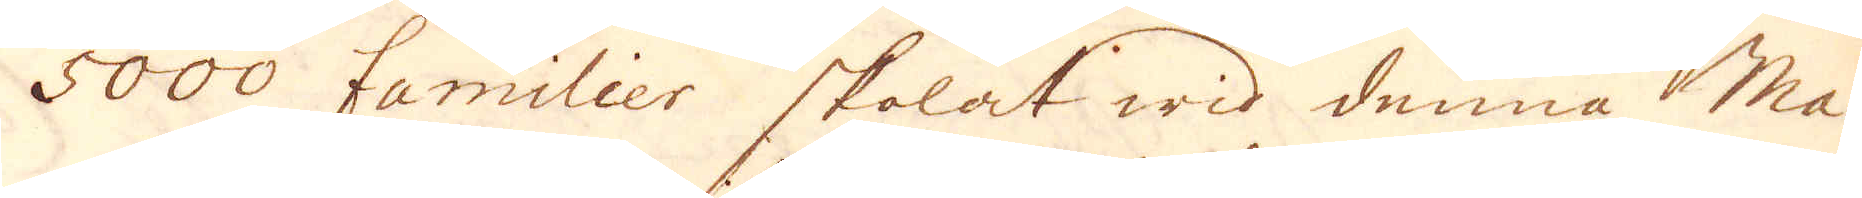5000 famlier skolat wid denna Ma-
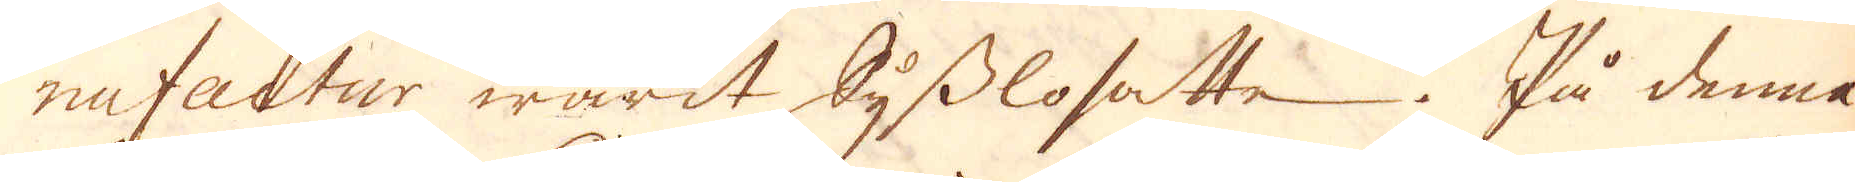nufactur warit sysslosatte. På denna
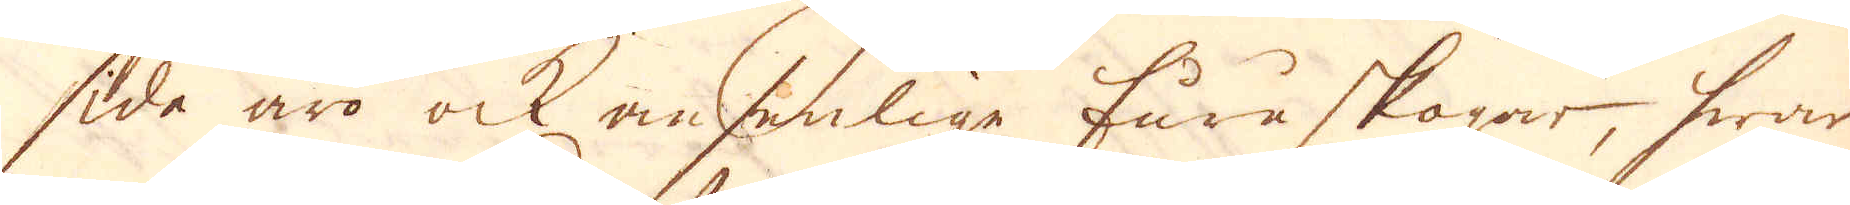side äro ock ansenlige furuskogar, hwar
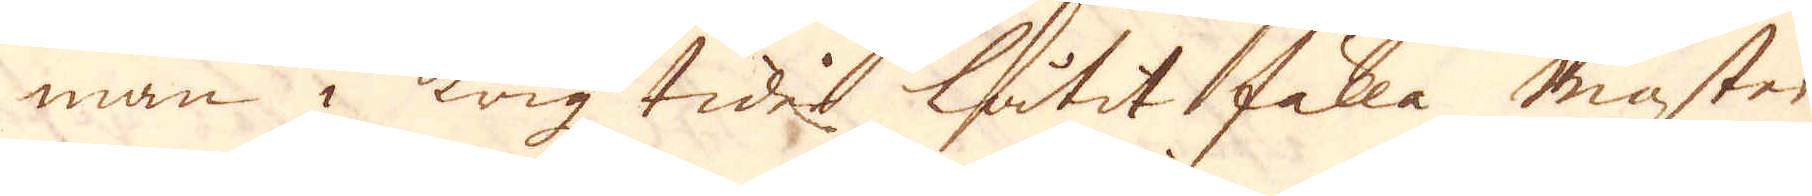man i krigz tider låtit fälla master
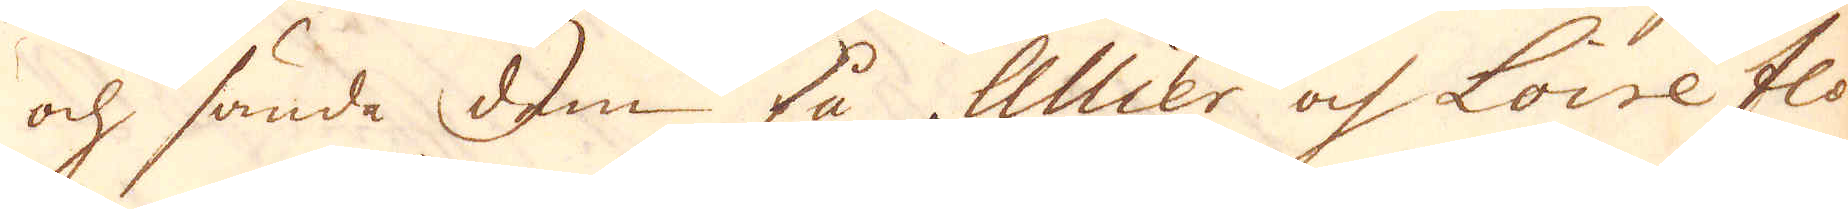och sände dem på Allier och Loire flo-
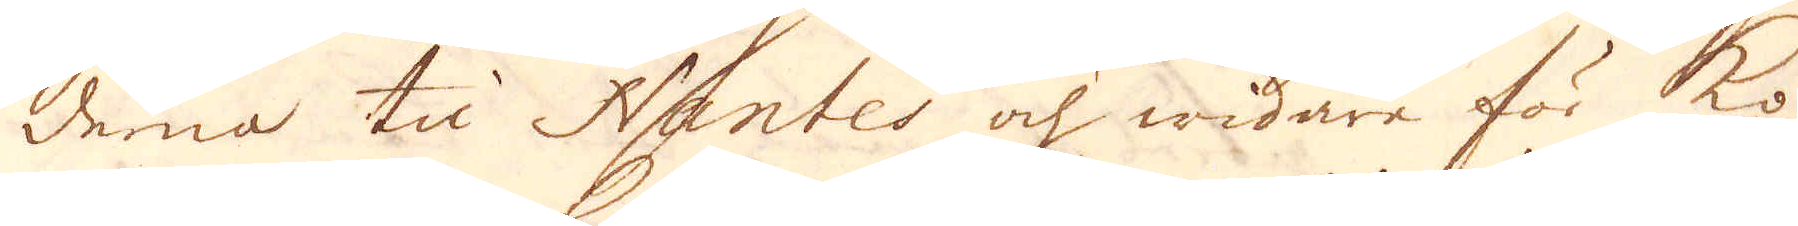derna til Nantes och widare för ko-
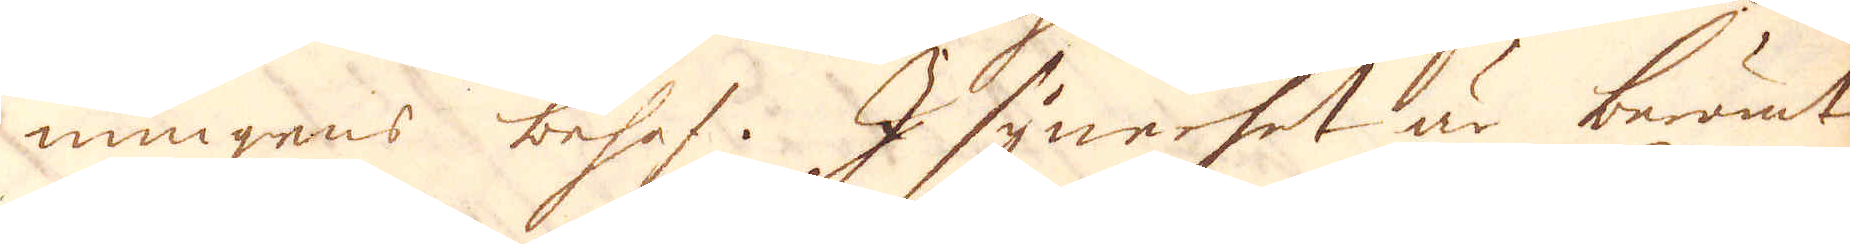nungens behof. I synerhet är berömt
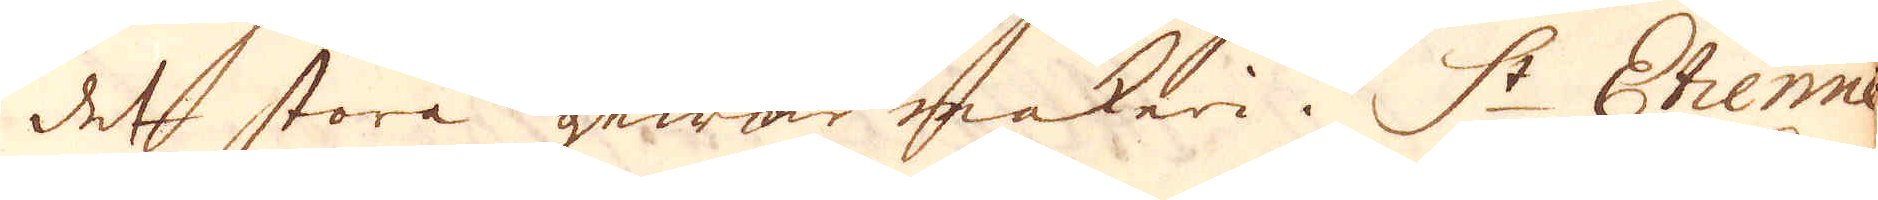det stora gewär makeri i St Etienne
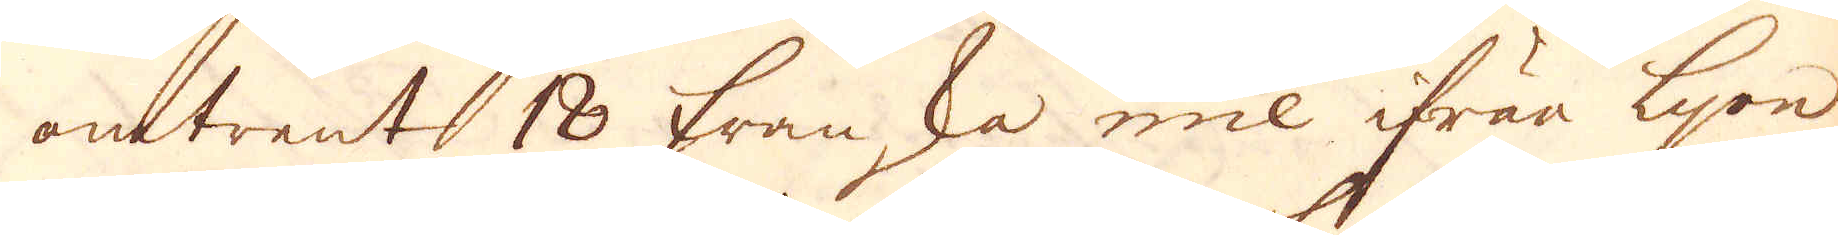omtrent 18 franska mil ifrån Lyon
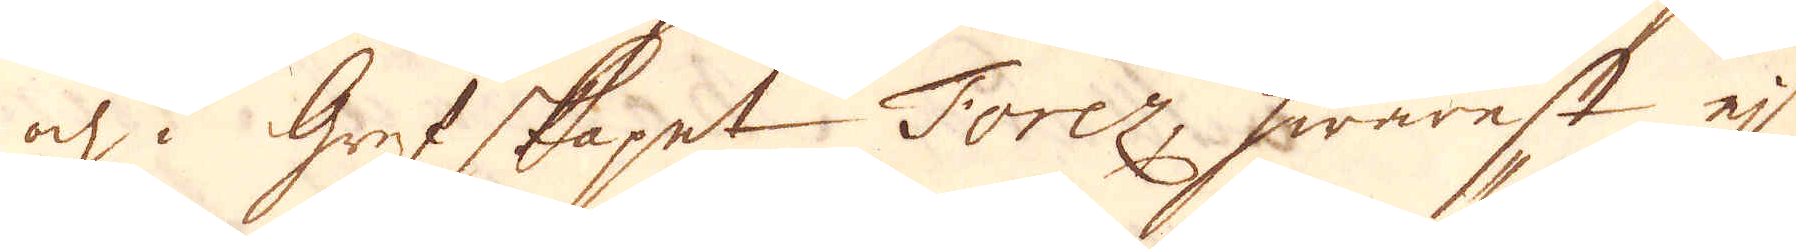och i grefskapet Torez, hwarest ej
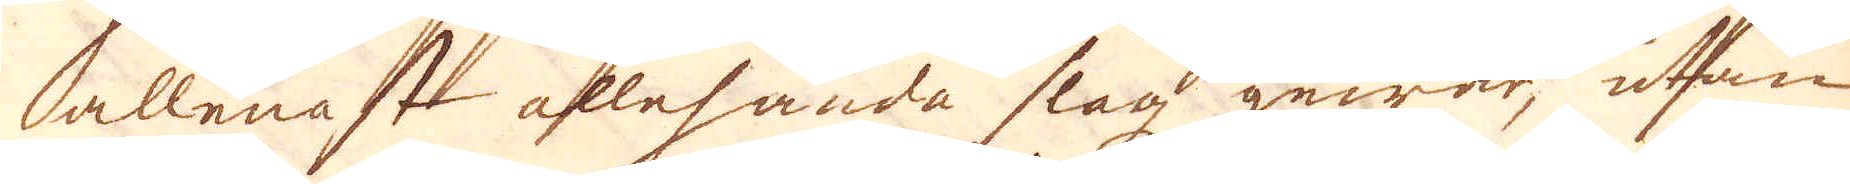allenast allehanda slagz gewär, utan
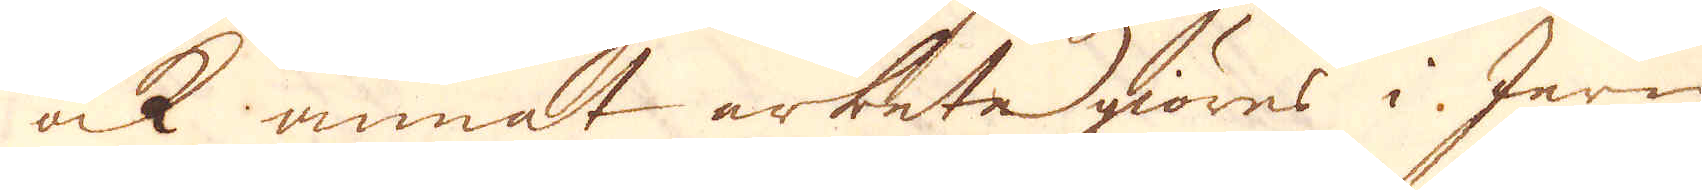ock annat arbete giöres i Jern
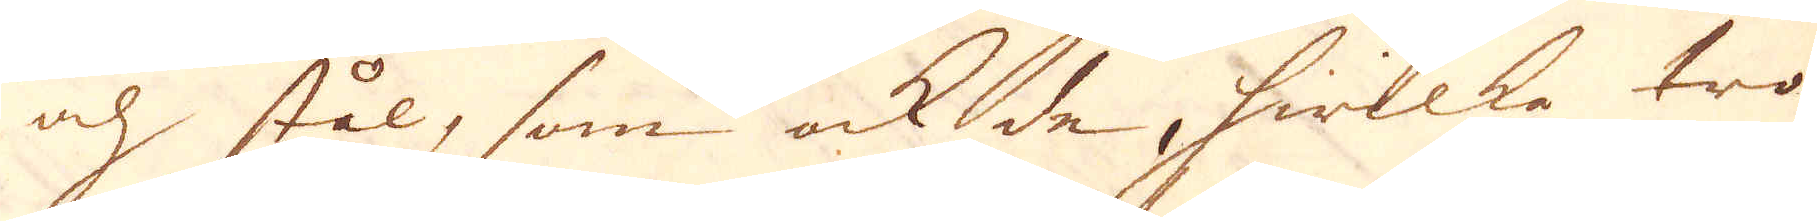och stål, som ock de, hwilka tro
